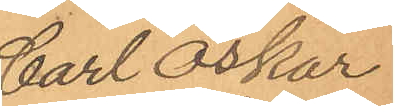Carl Oskar
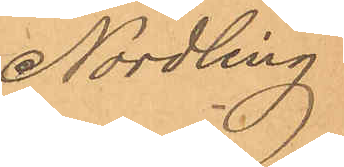Nordling
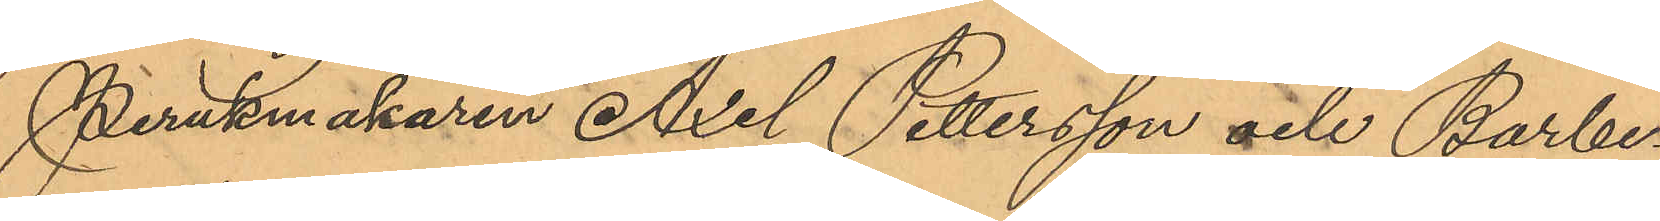Perukmakaren Axel Pettersson och Barbe¬
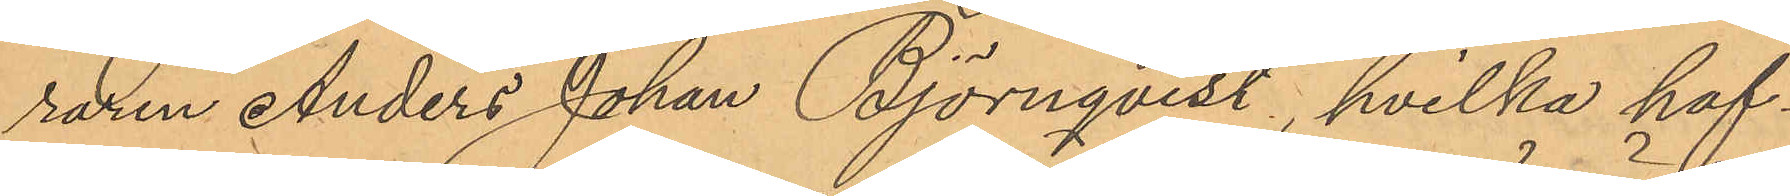raren Anders Johan Björnqvist, hvilka haf¬
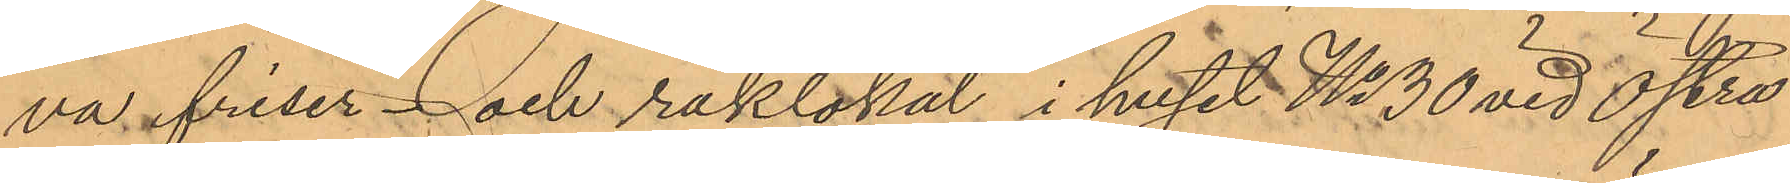va friser- och raklokal i huset No 30 vid Östra
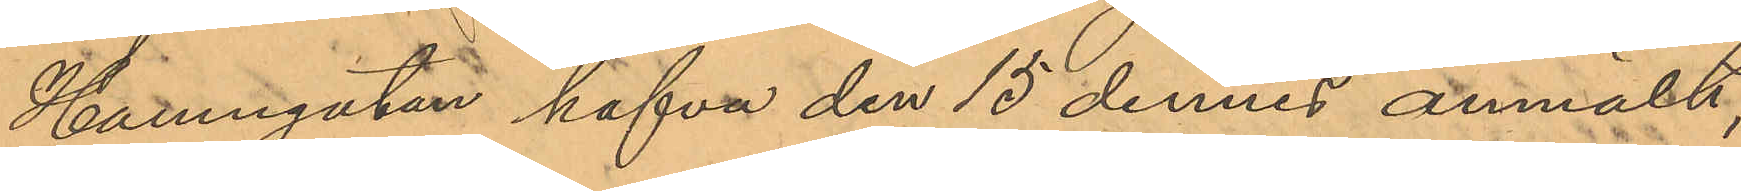Hamngatan hafva den 15 dennes anmält,
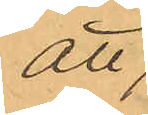att
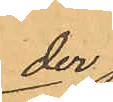der
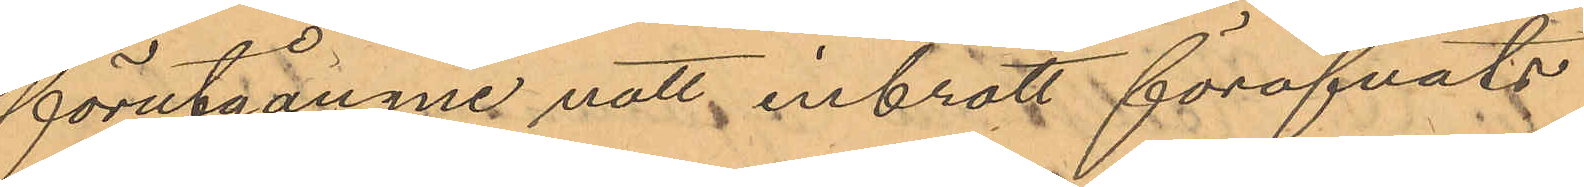förutgångne natt inbrott föröfvats
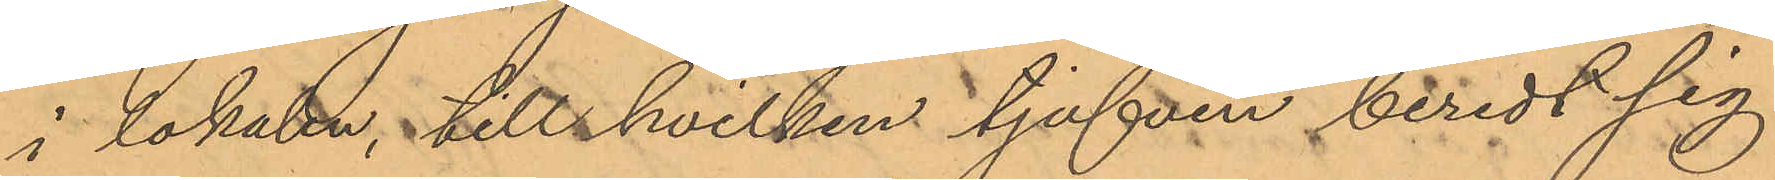i lokalen till hvilken tjufven beredt sig
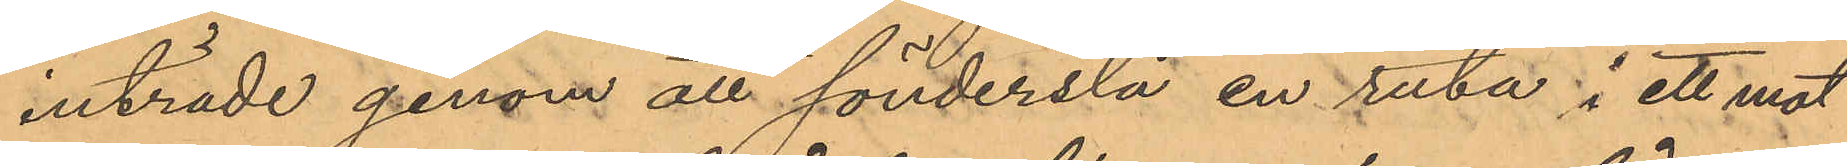inträde genom all sönderslå en ruta i ett mot
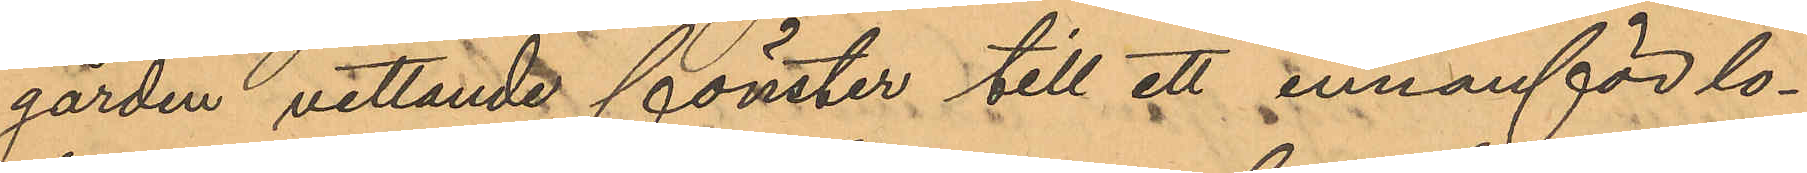gården vettande fönster till ett innanför lo¬
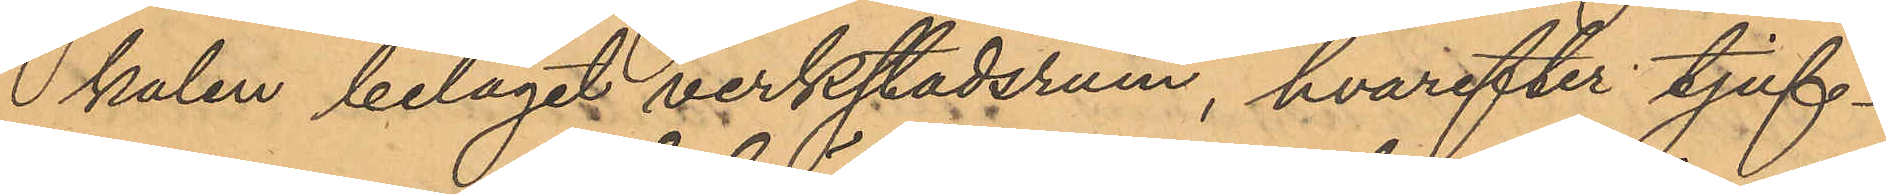kalen beläget verkstadsrum, hvarefter tjuf¬
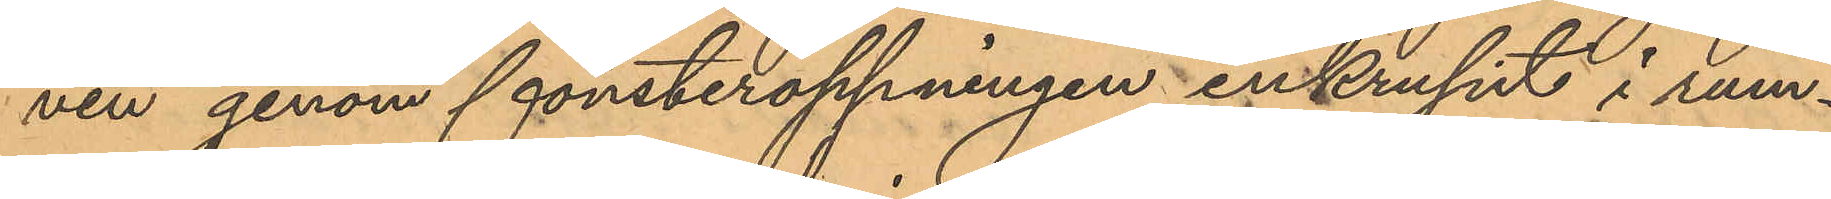ven genom fönsteröppningen inkrupit i rum¬
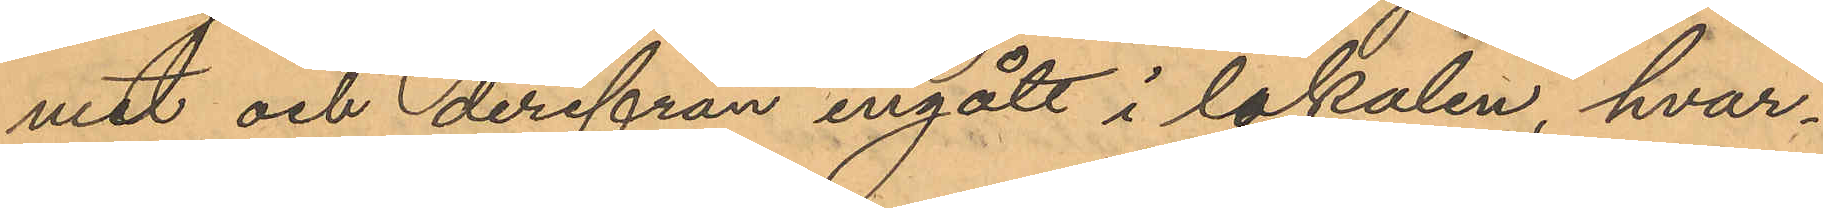met och derifrån ingått i lokalen, hvar¬
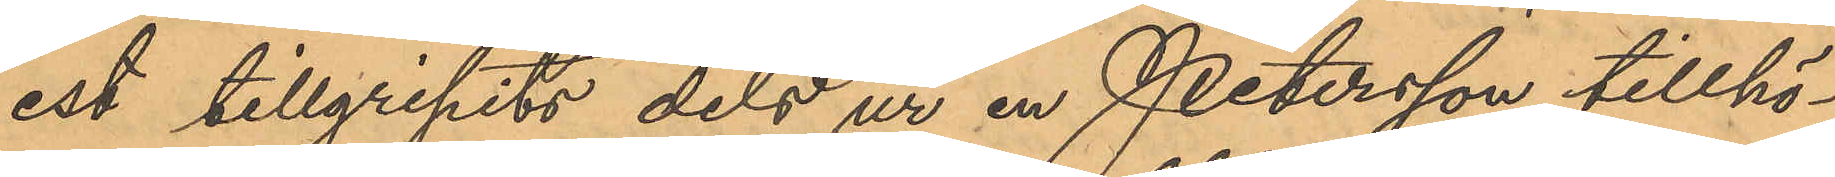est tillgripits dels ur en Petersson tillhö¬
